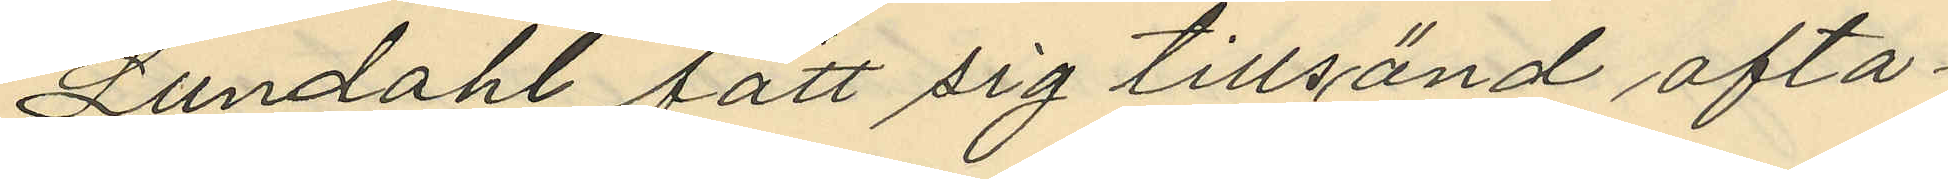Lundahl fått sig tillsänd ofta¬
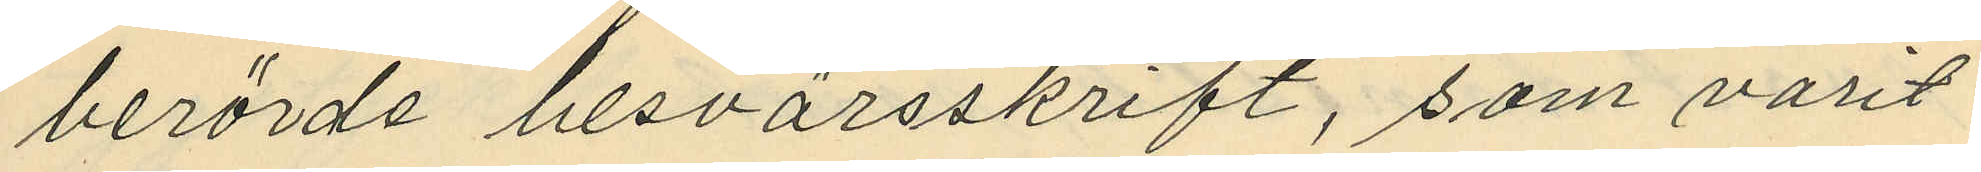berörde besvärsskrift, som varit
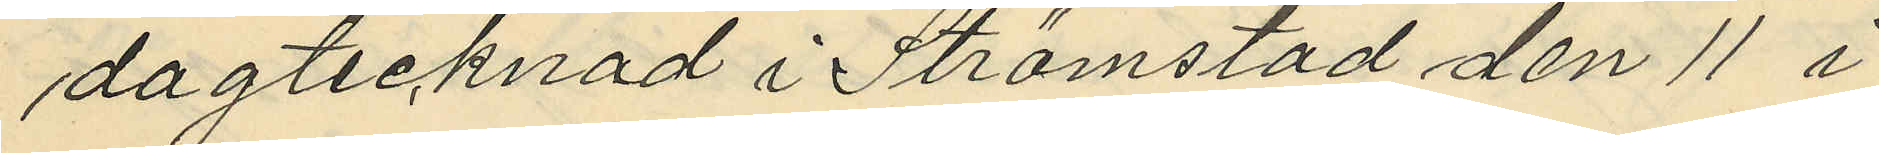dagtecknad i Strömstad den 11 i
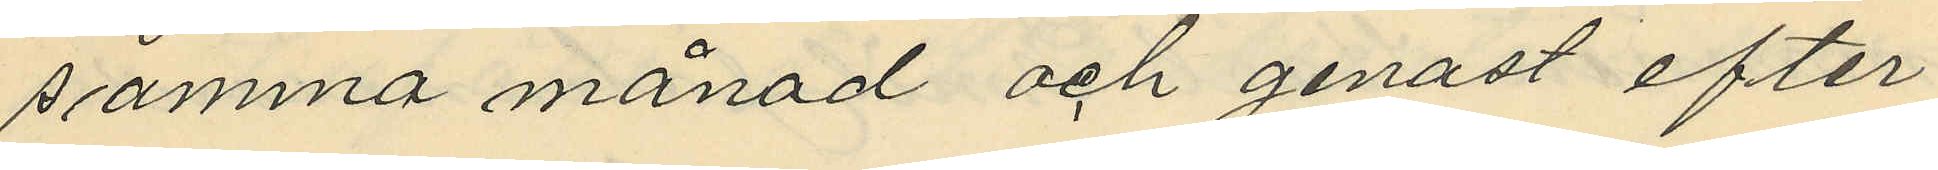samma månad och genast efter
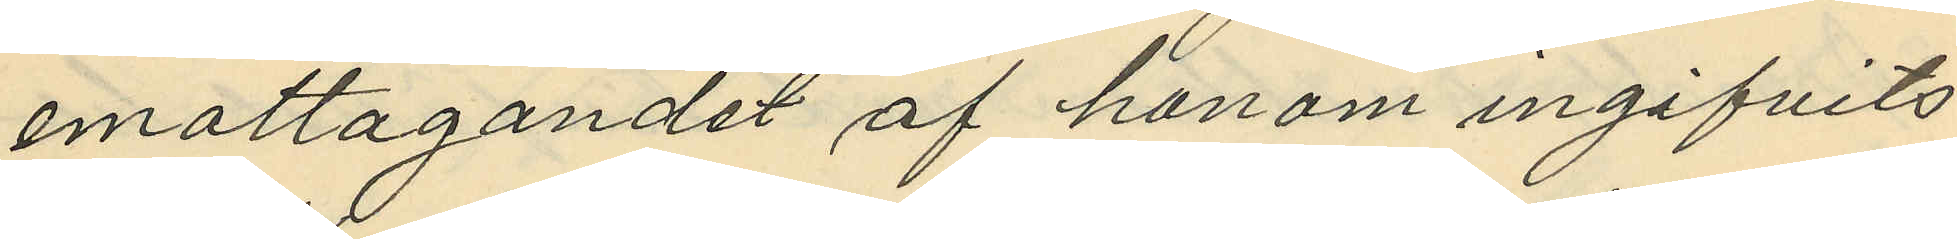emottagandet af honom ingifvits
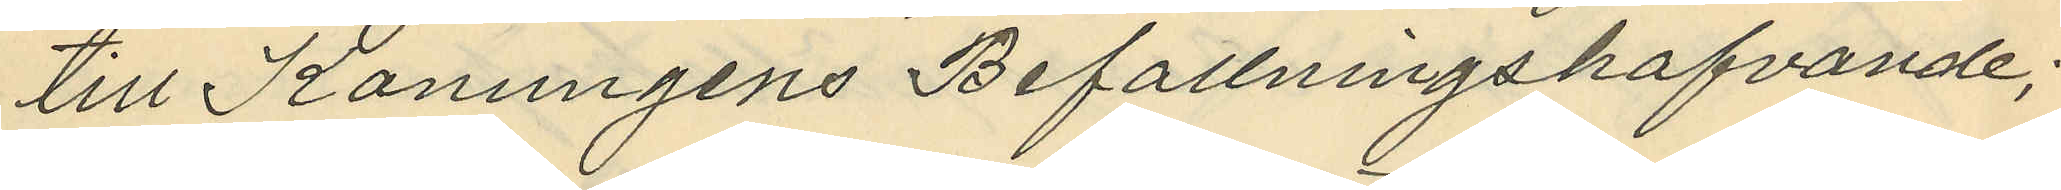till Konungens Befallningshafvande;
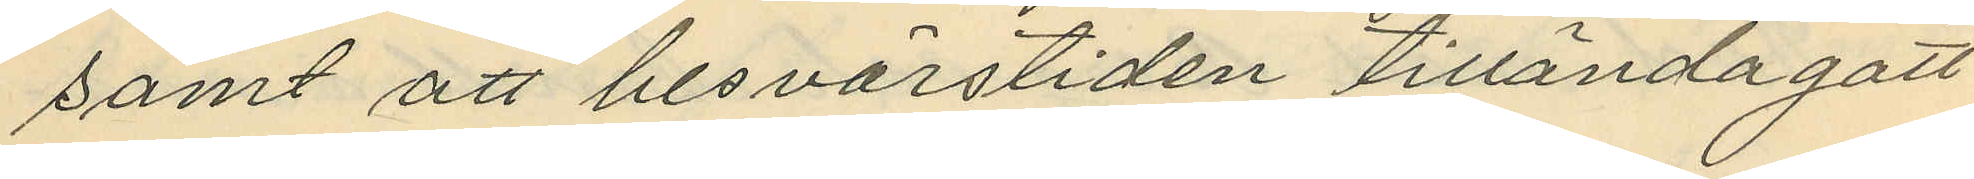samt att besvärstiden tillända gått
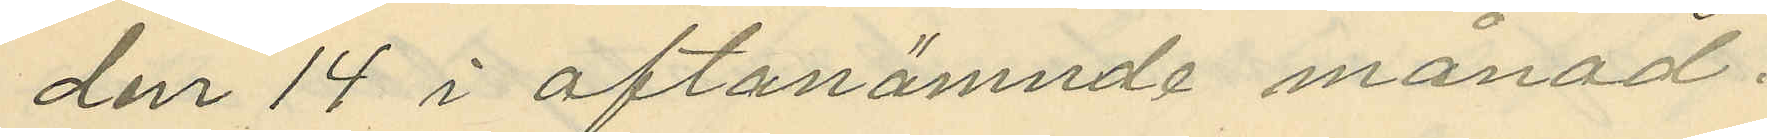den 14 i oftanämnde månad.
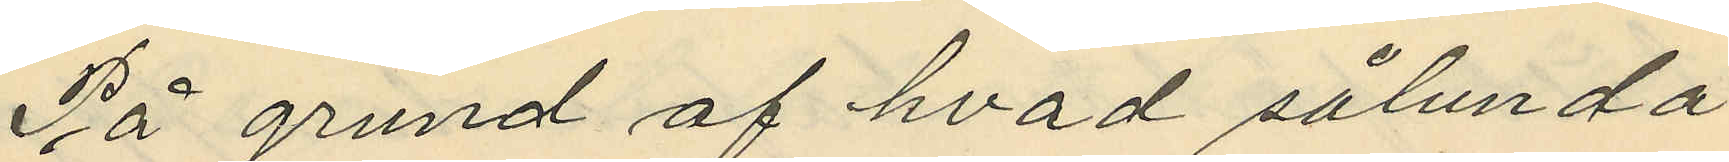På grund af hvad sålunda
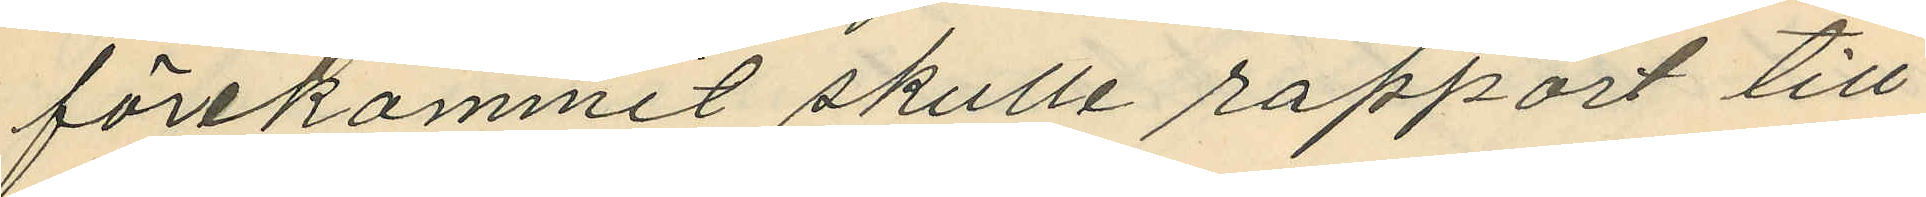förekommit skulle rapport till
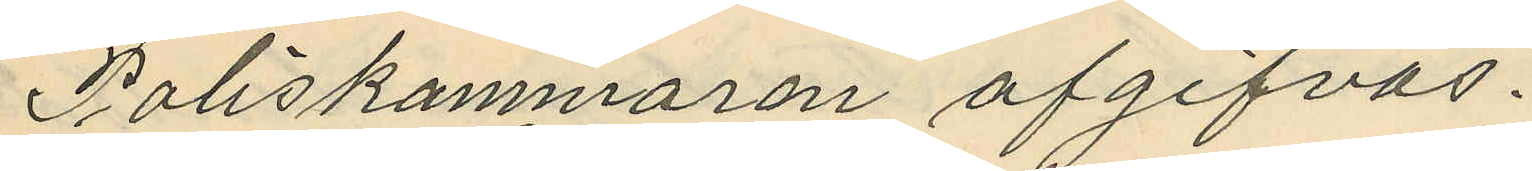Poliskammaren afgifvas.
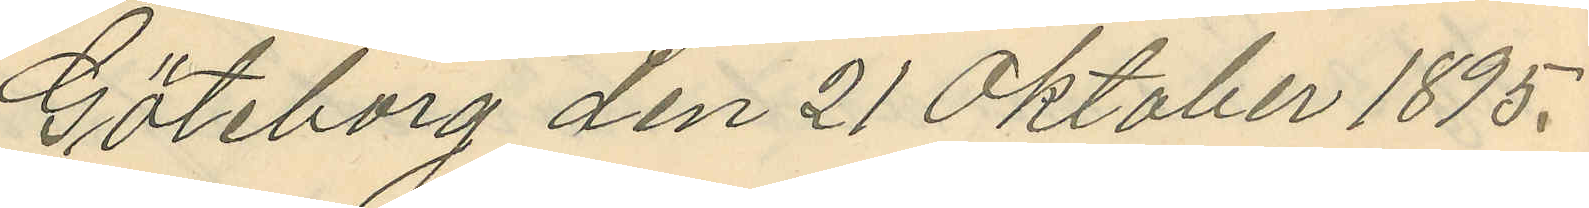Göteborg den 21 Oktober 1895.
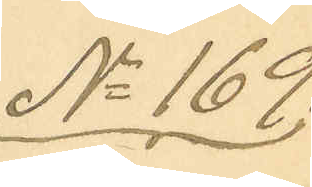No 169.
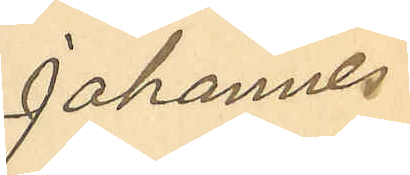Johannes
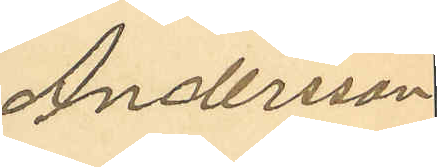Andersson
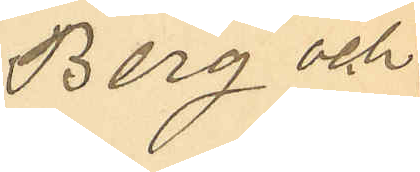Berg och
